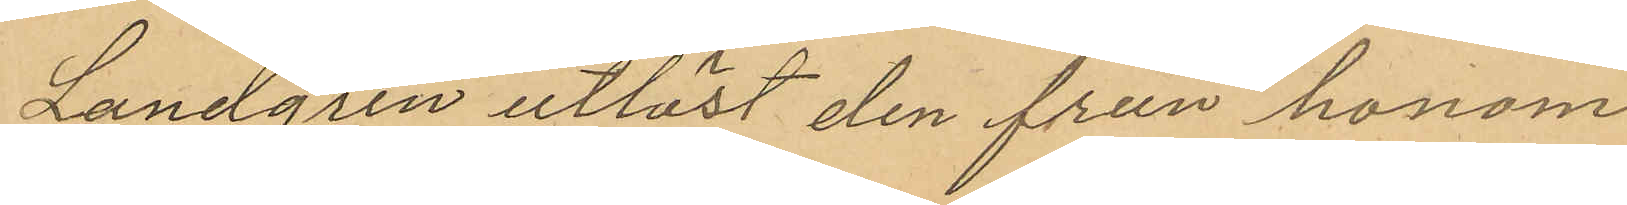Landgren utlöst den från honom
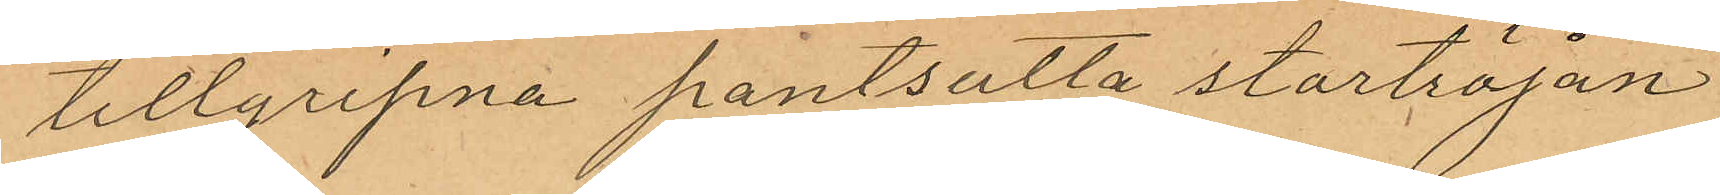tillgripna pantsatta stortröjan
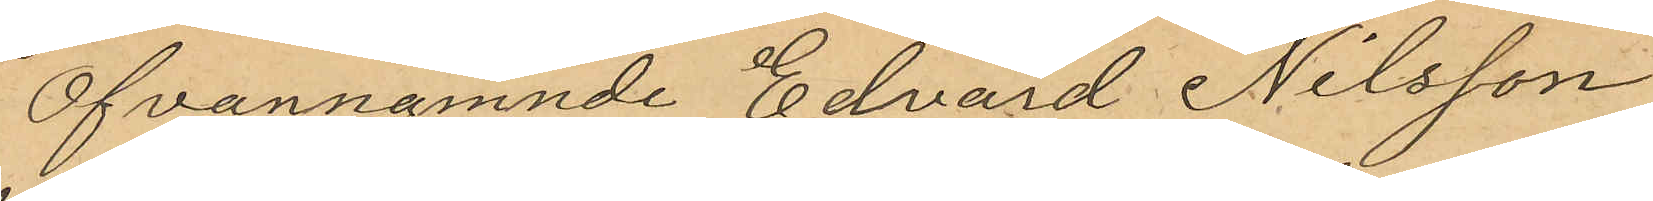Ofvannämnde Edvard Nilsson
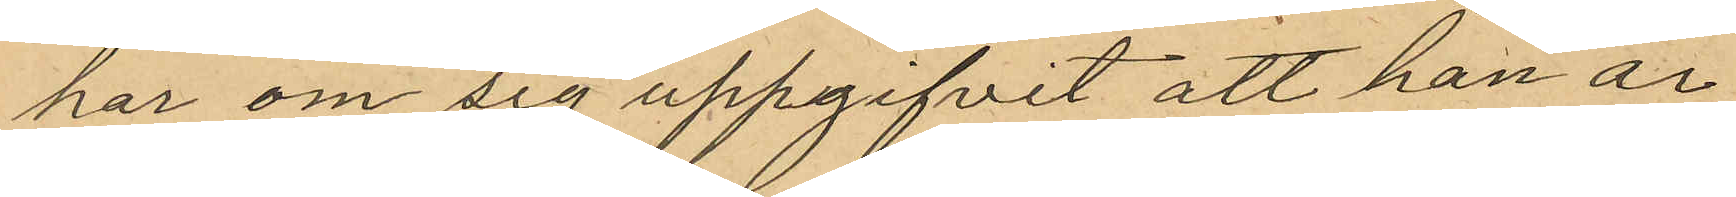har om sig uppgifvit att han är
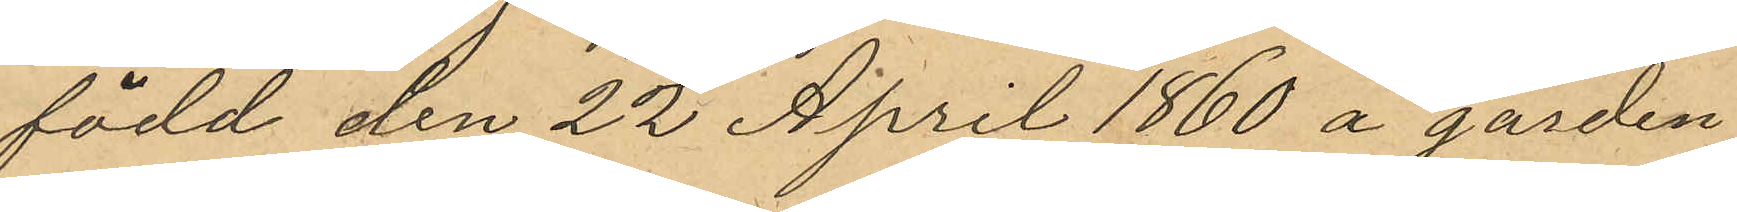född den 22 April 1860 å gården
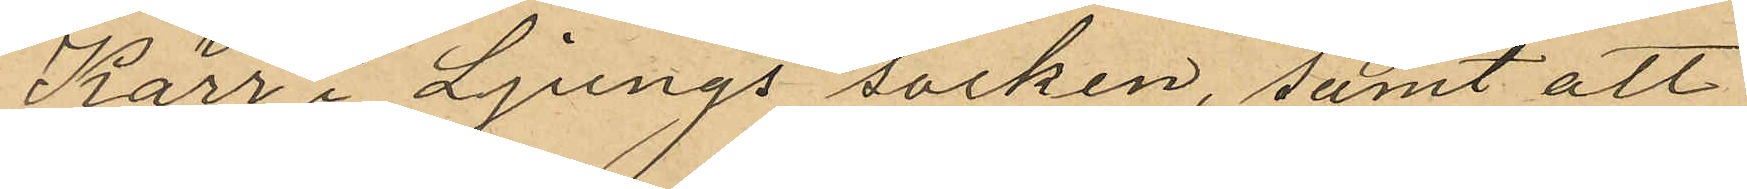Kärr i Ljungs socken, samt att
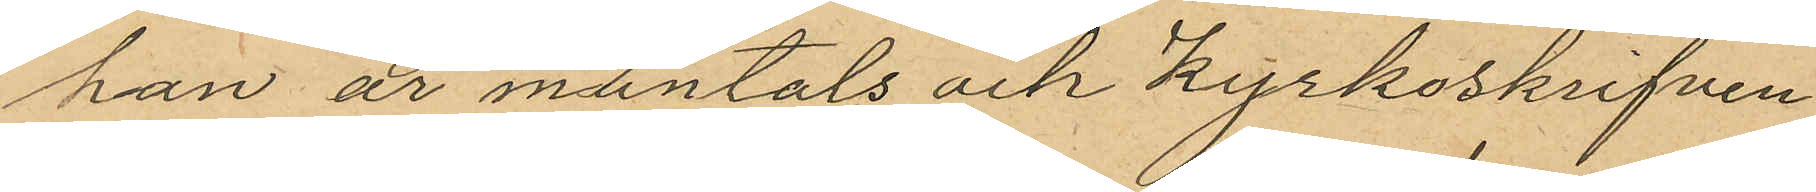han är mantals och kyrkoskrifven
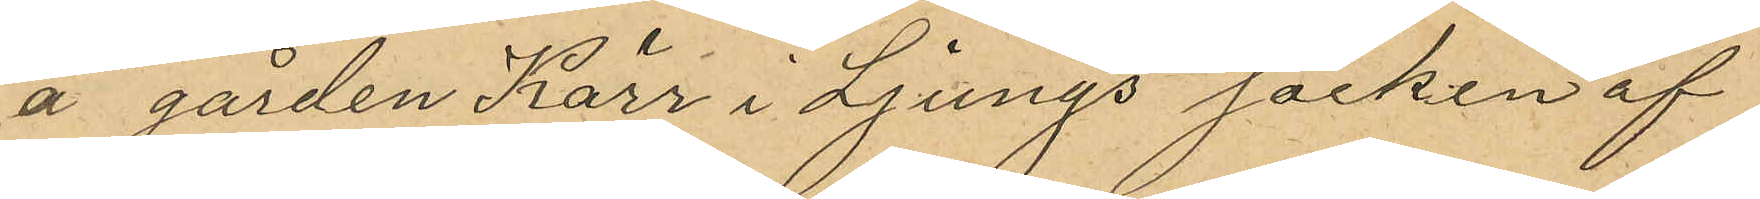å gården Kärr i Ljungs socken af
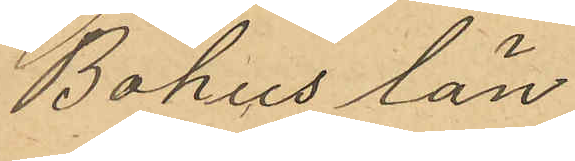Bohus län
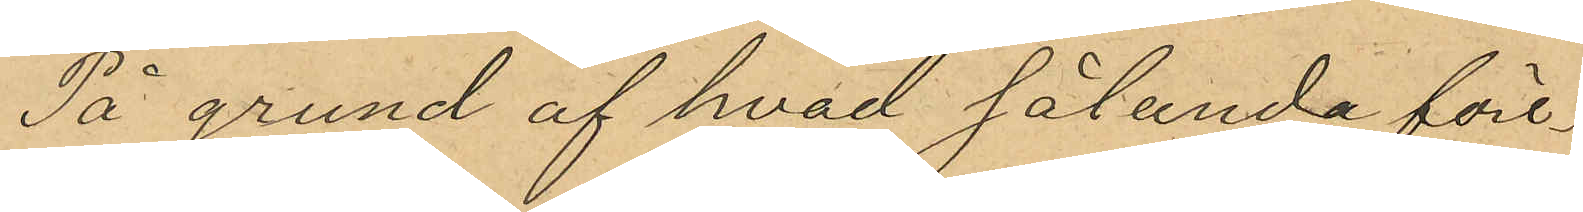På grund af hvad sålunda före¬
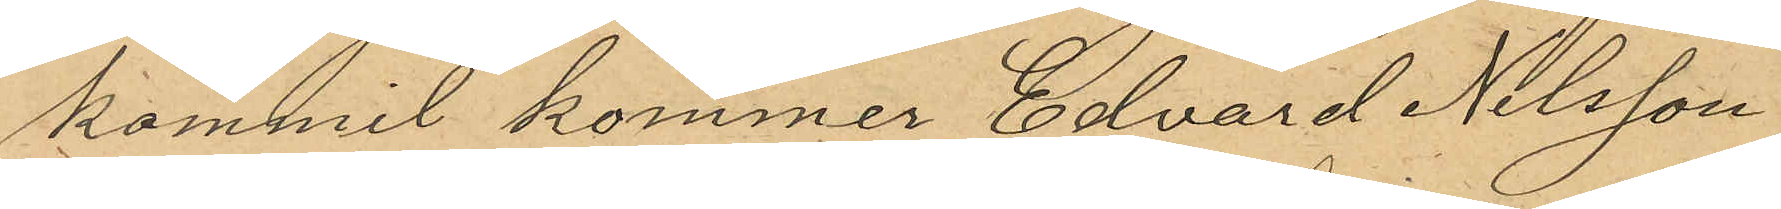kommit kommer Edvard Nilsson
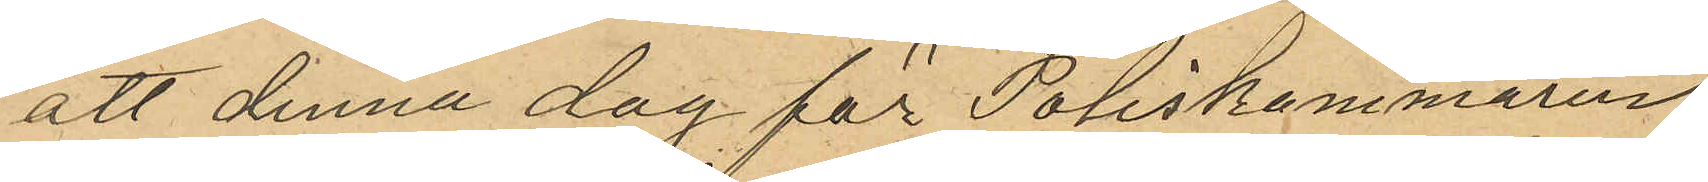att denna dag för Poliskammaren
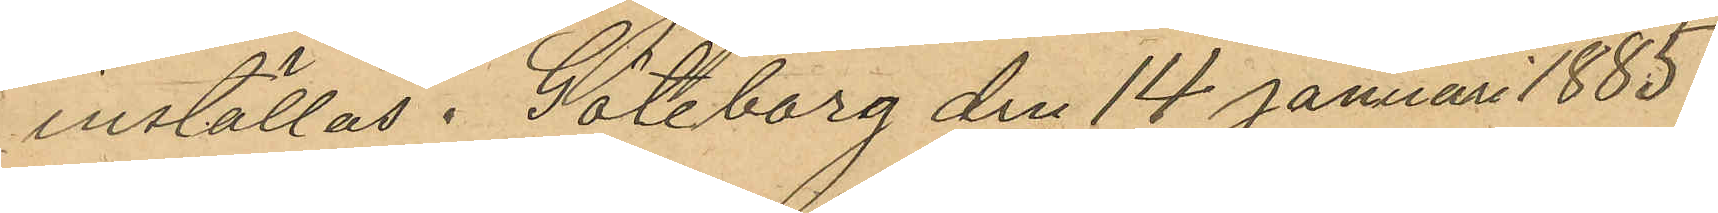inställas. Göteborg den 14 Januari 1885.
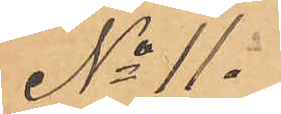No 11.
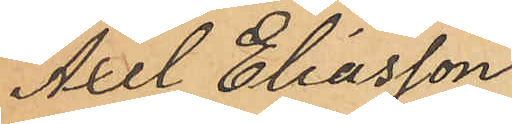Axel Eliasson
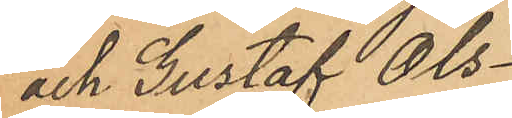och Gustaf Ols¬
